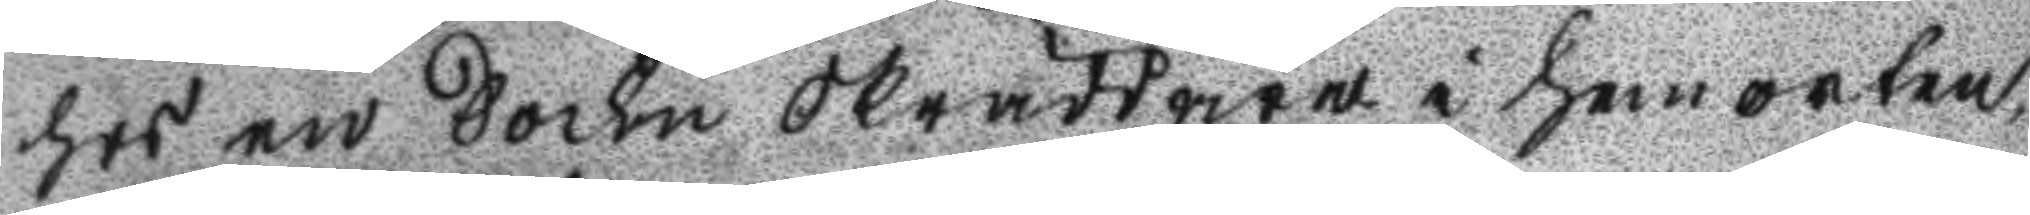hos en Sockn Skräddaren i hemorten
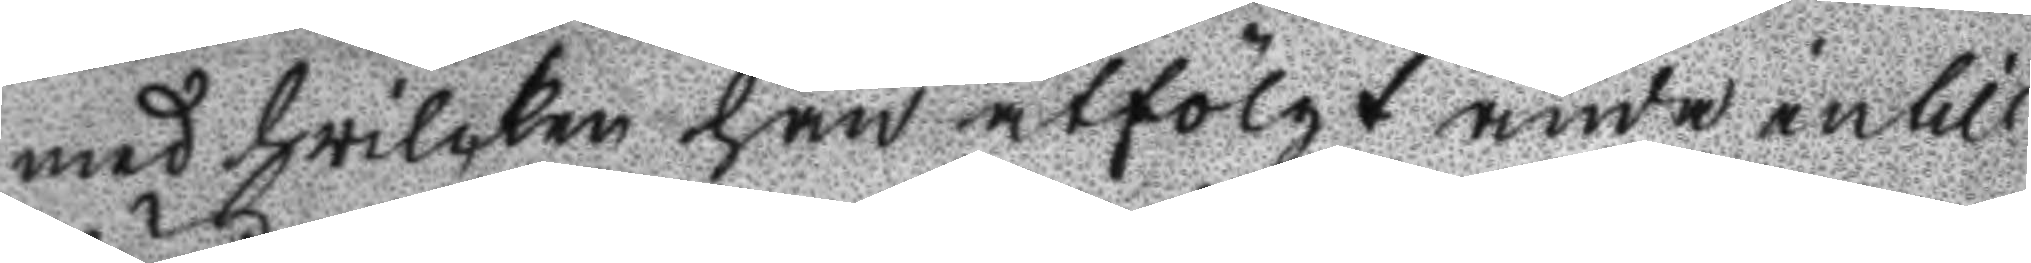med hwilken han åtfögt ända intill
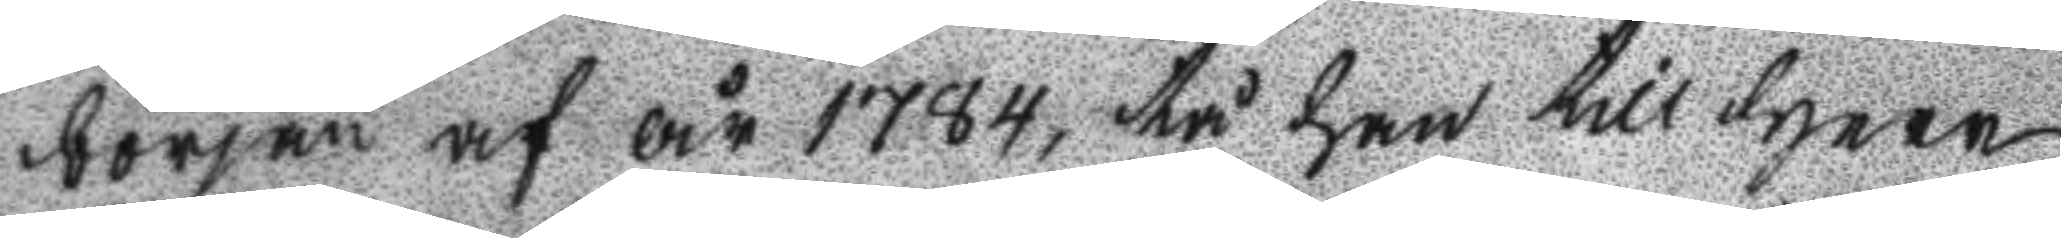början af år 1784, tå han till Herr
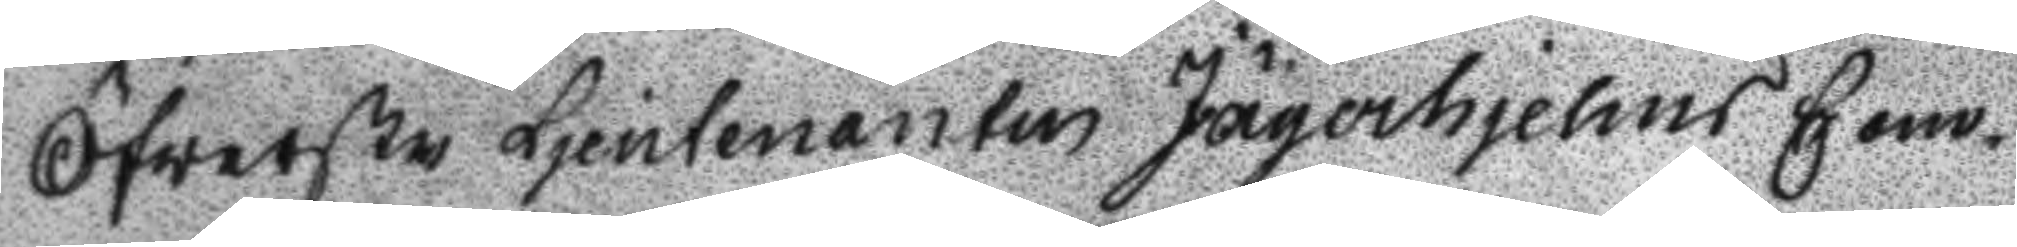Öfwerste Ljeutenanten Jägerhjelms Com¬
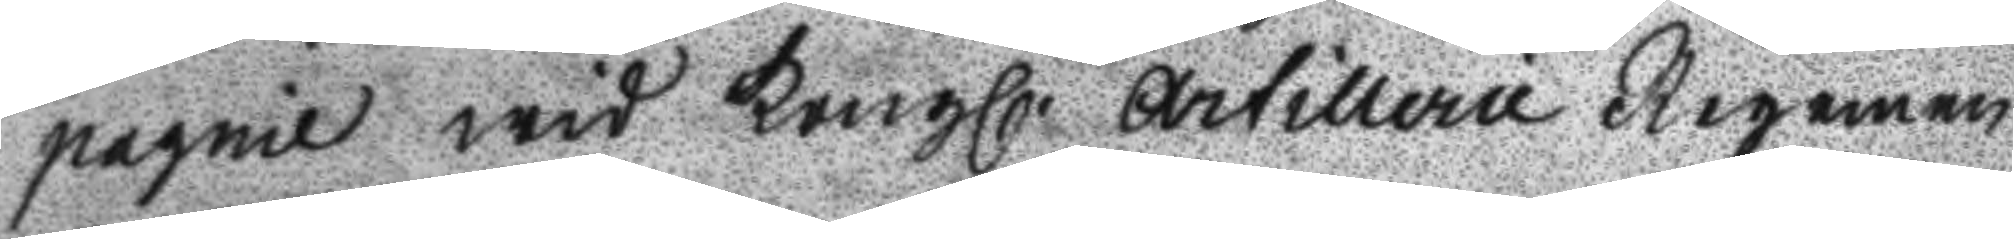pagnie wid Kongl. Artillerie Regemen
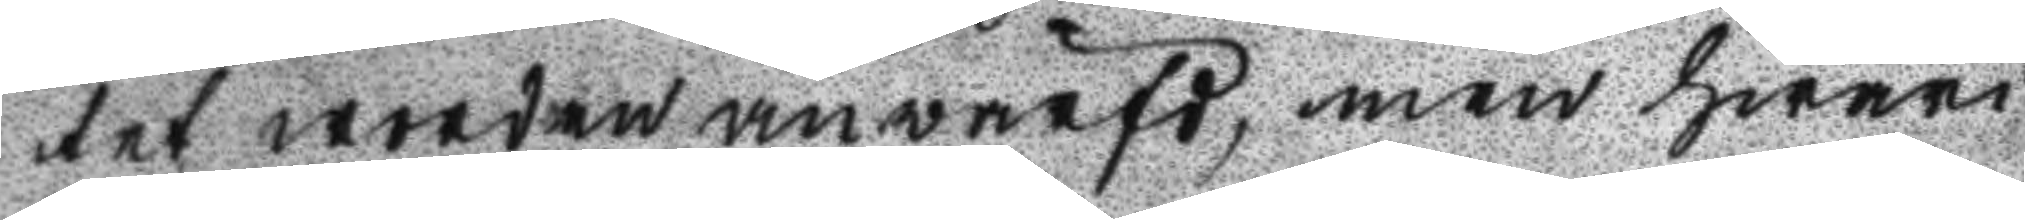tet worden anwärfd, men hwari
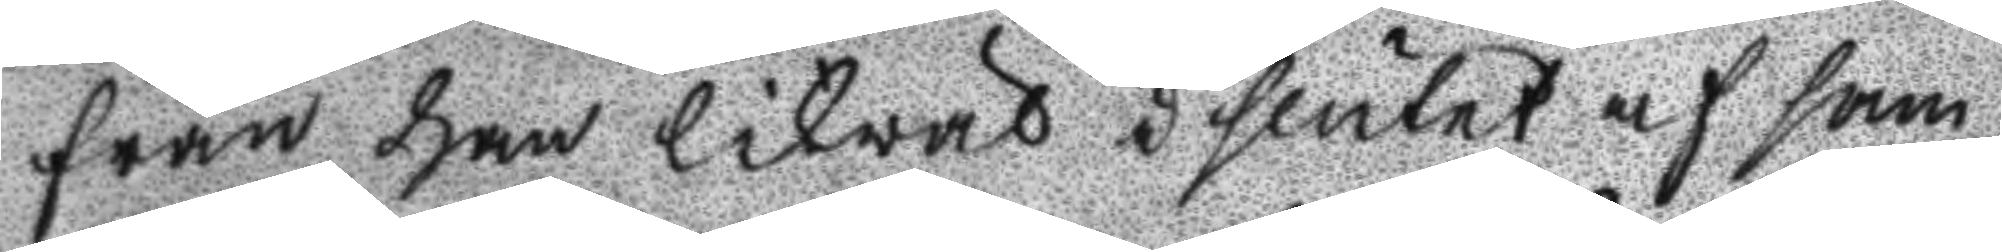från han likwäl i slutet af sam
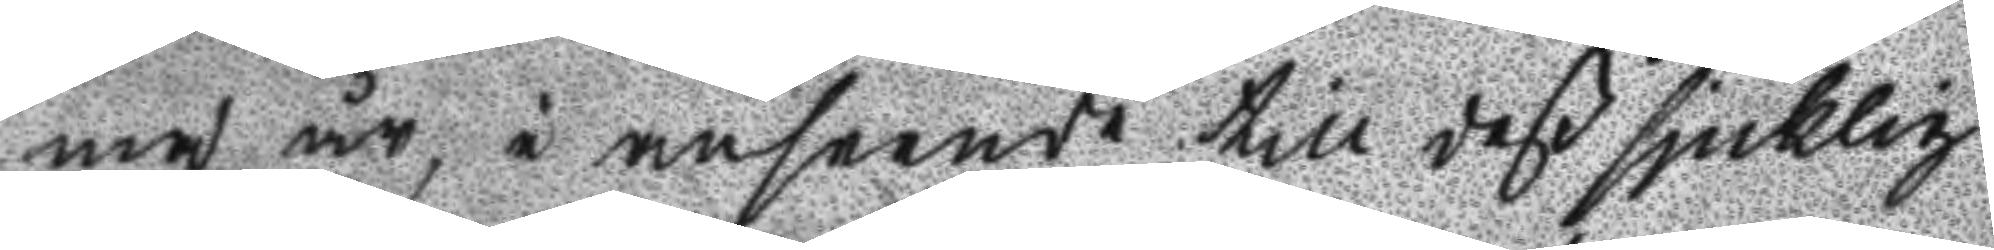ma år i anseende till deß sjuklig
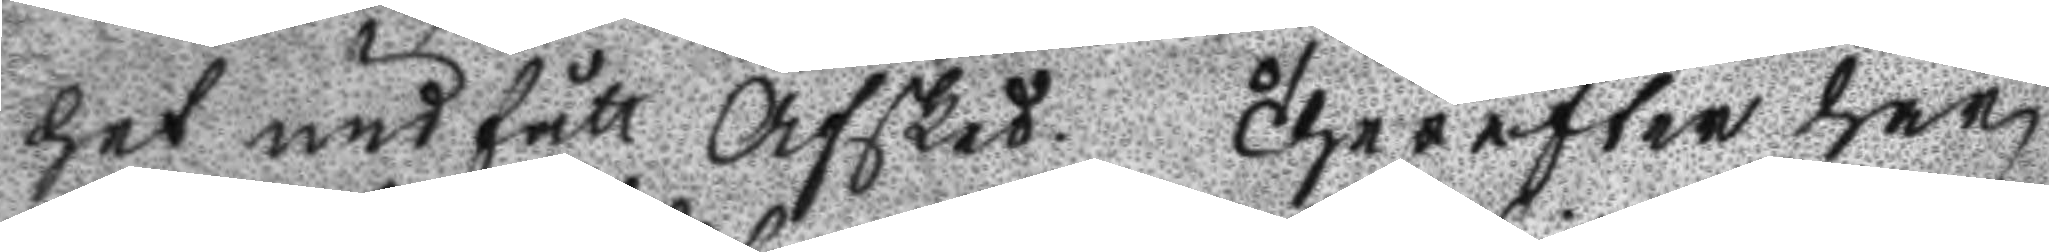het undfått Afsked. Therefter har
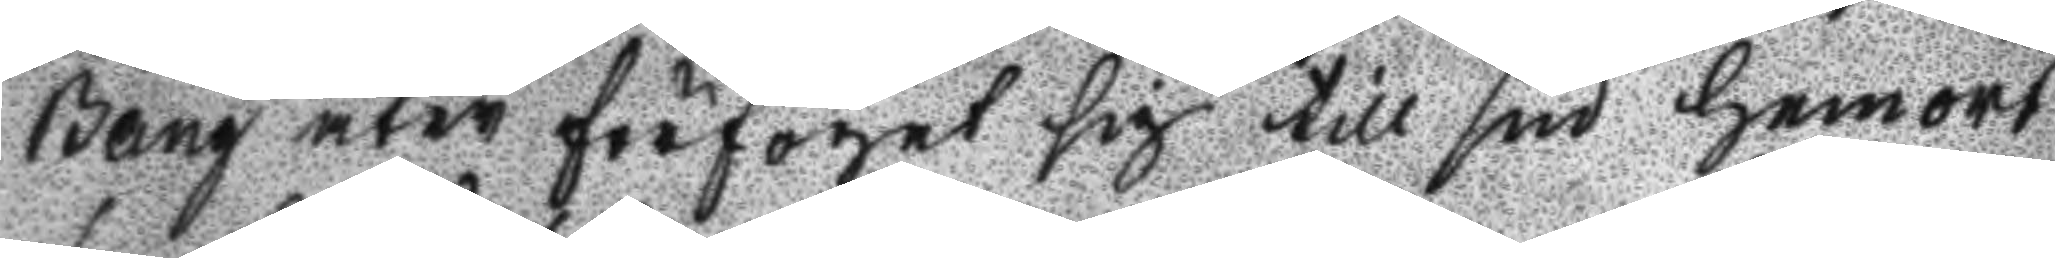Bång åter förfogat sig till sin hemort
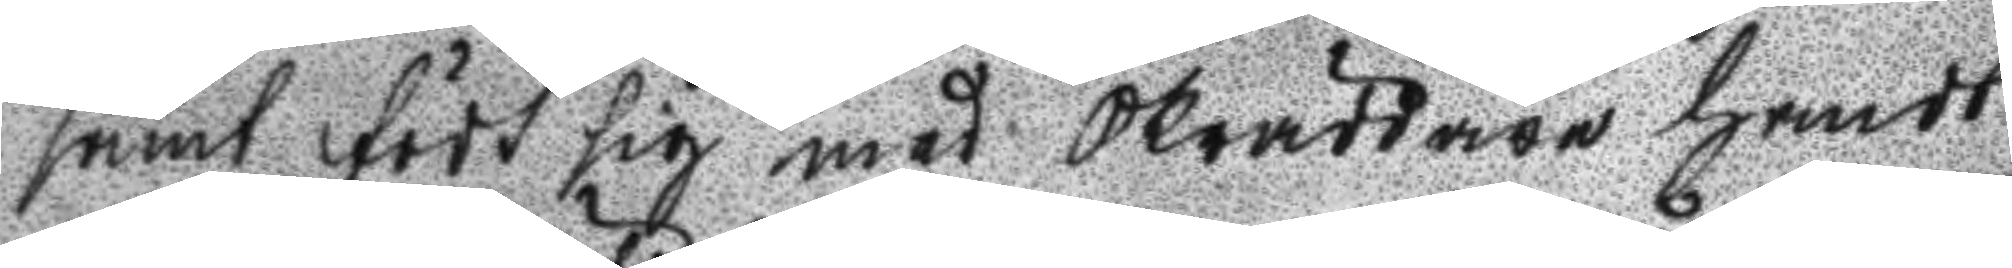samt födt sig med Skräddare handt
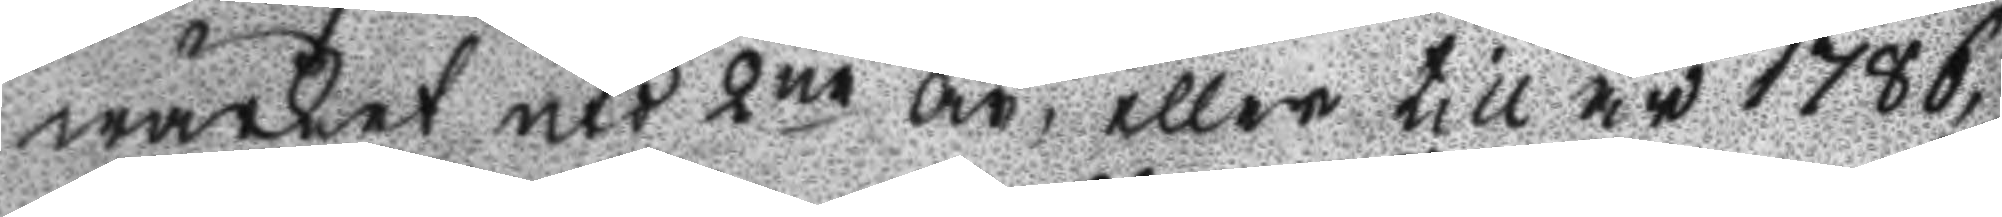wärket uti 2ne år, eller till år 1786
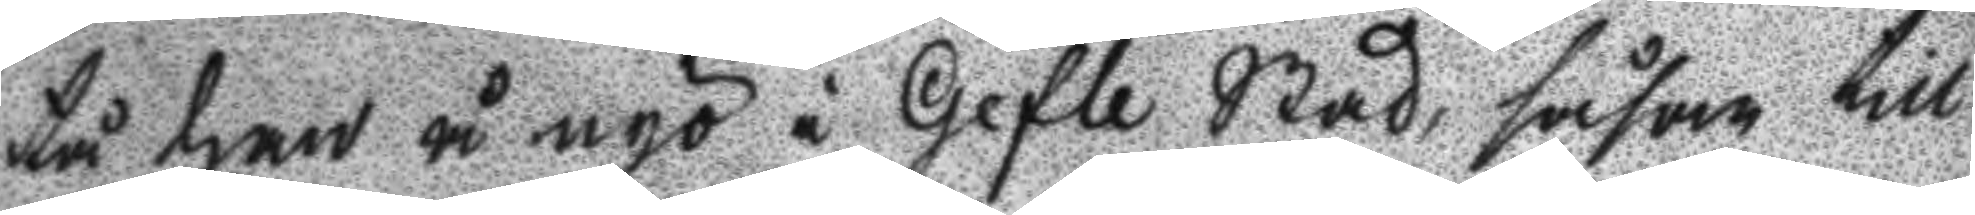tå han å nyo i Gefle Stad, såsom till
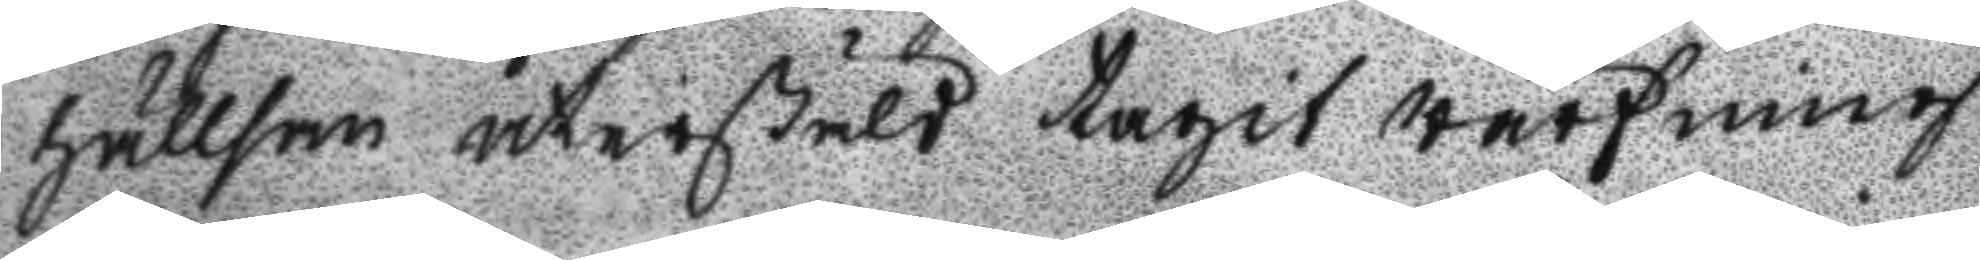hällsan återstäld tagit wärfning
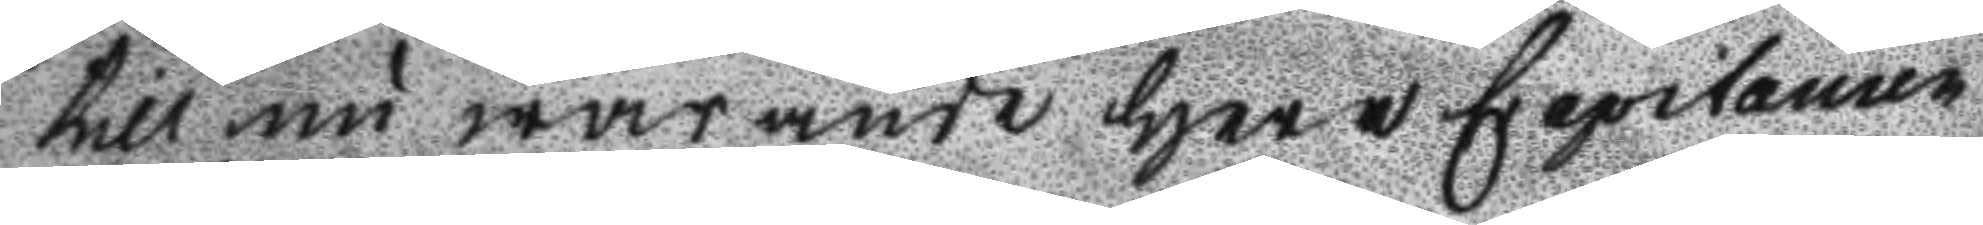till nu warande Herr Capitainen
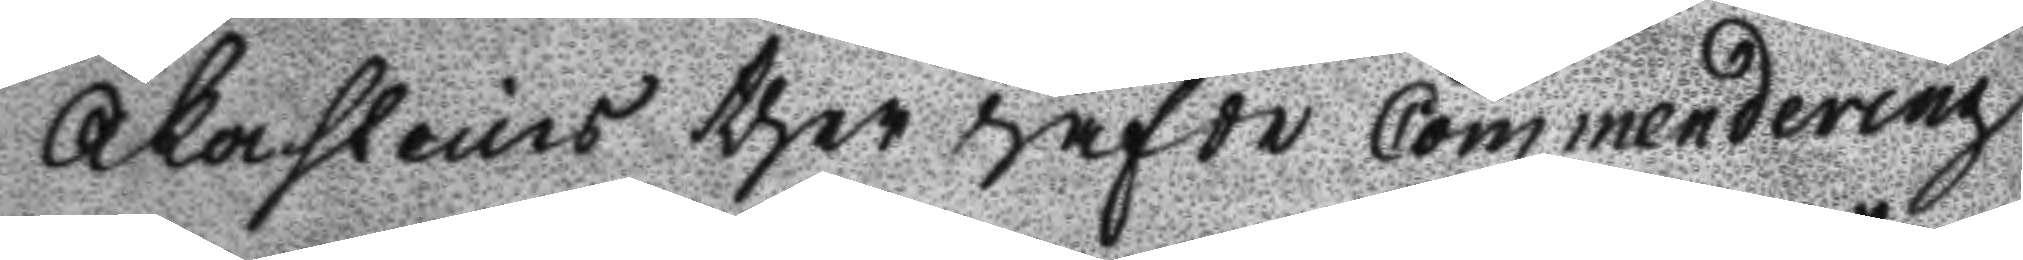Åkerstein thet hafde Commendering
